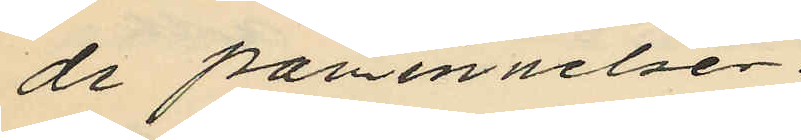de påminnelser.
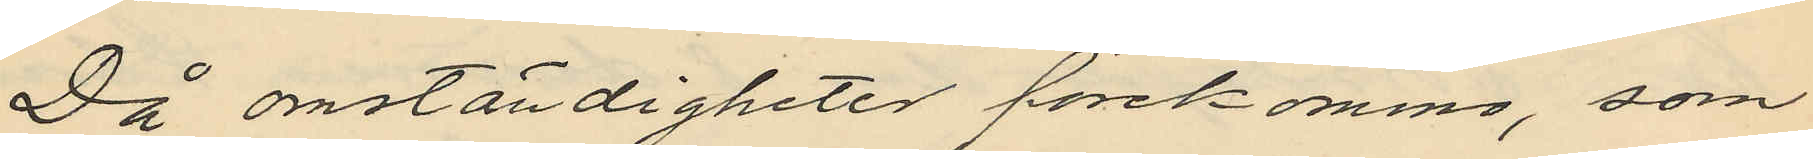Då omständigheter förekommo, som
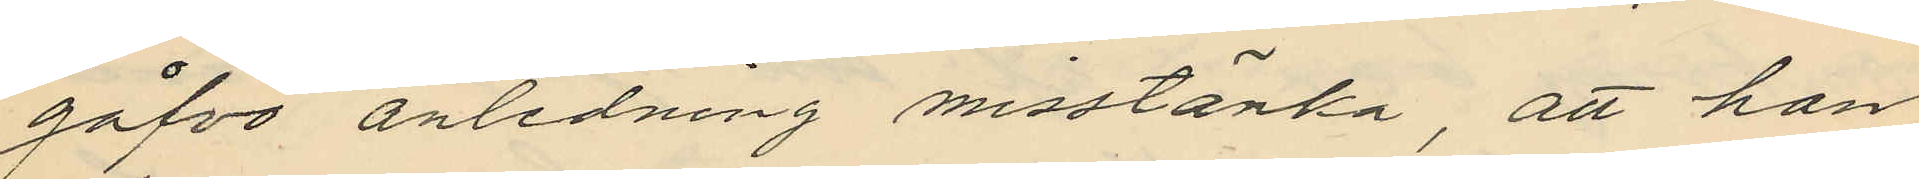gåfvo anledning misstänka, att han
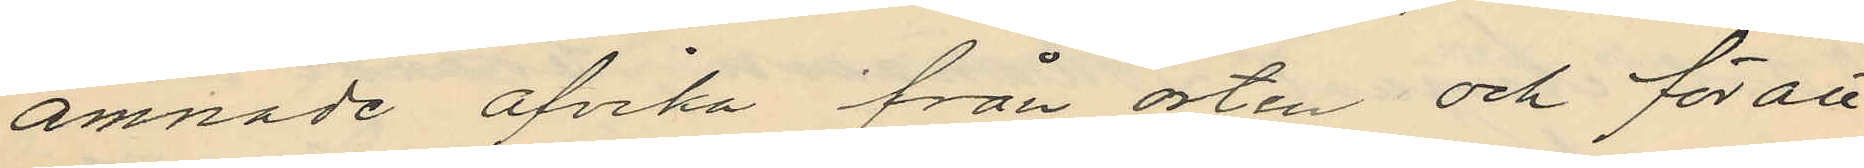ämnade afvika från orten och för att
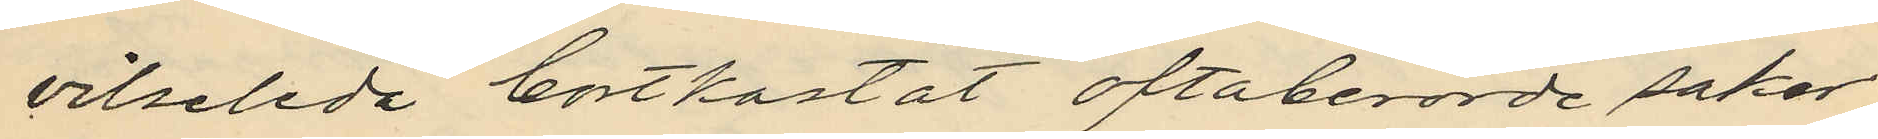vilseleda bortkastat oftaberörde saker
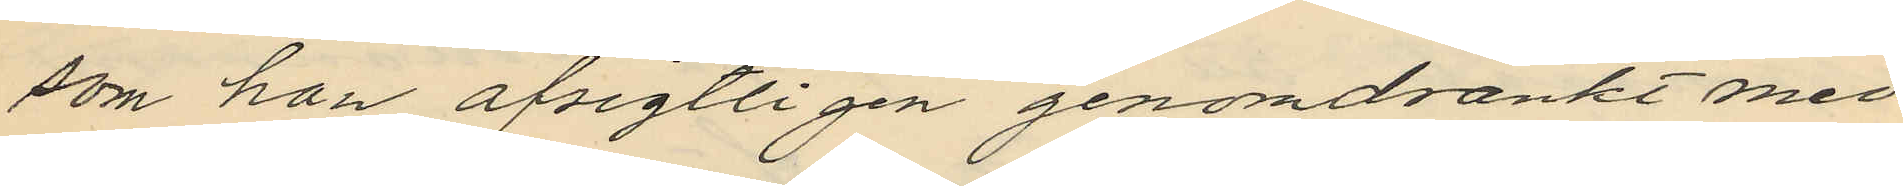som han afsigtligen genomdränkt med
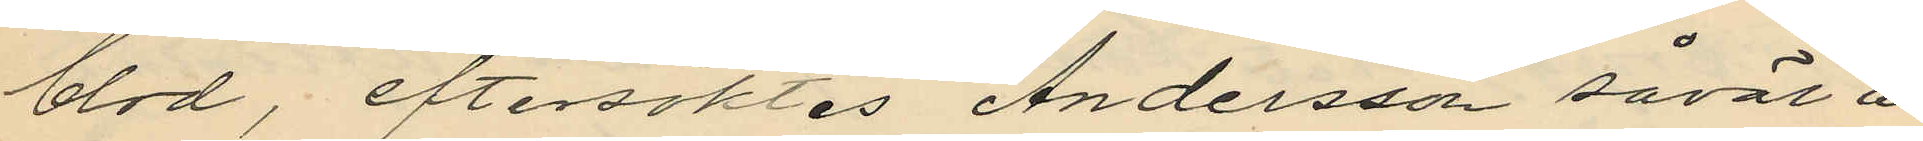blod, eftersöktes Andersson såväl å
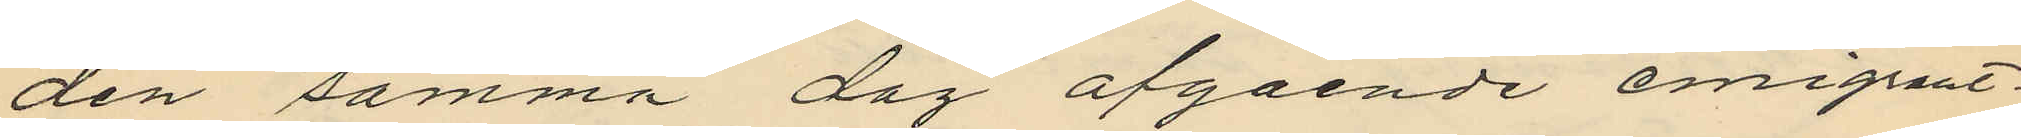den samma dag afgående emigrant¬
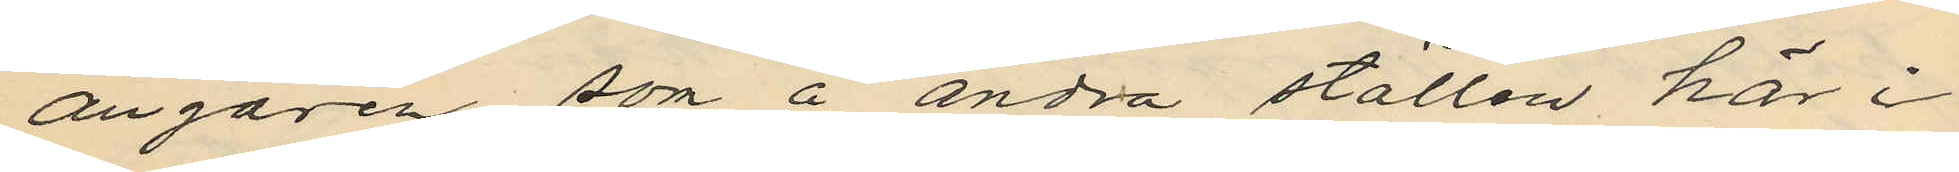ångaren som å andra ställen här i
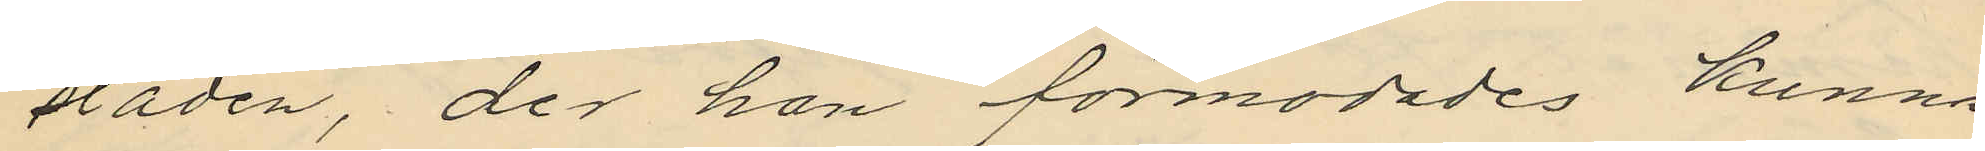staden, der han förmodades kunna
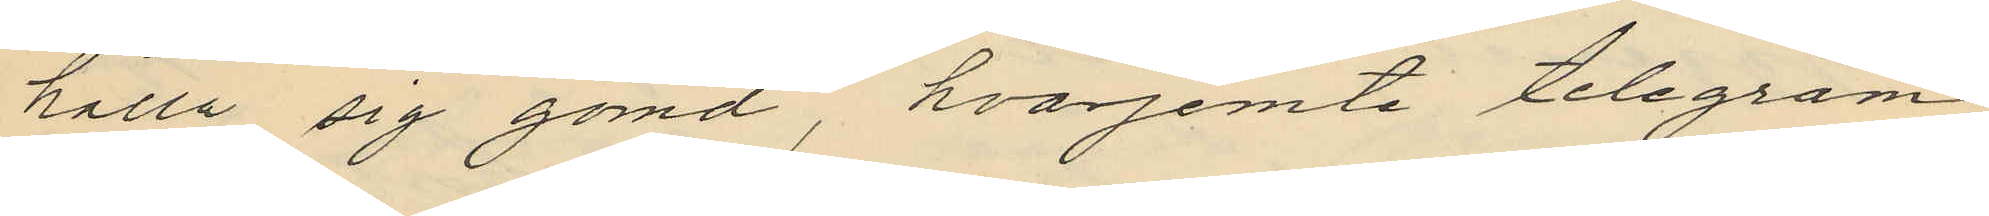hålla sig gömd, hvarjemte telegram
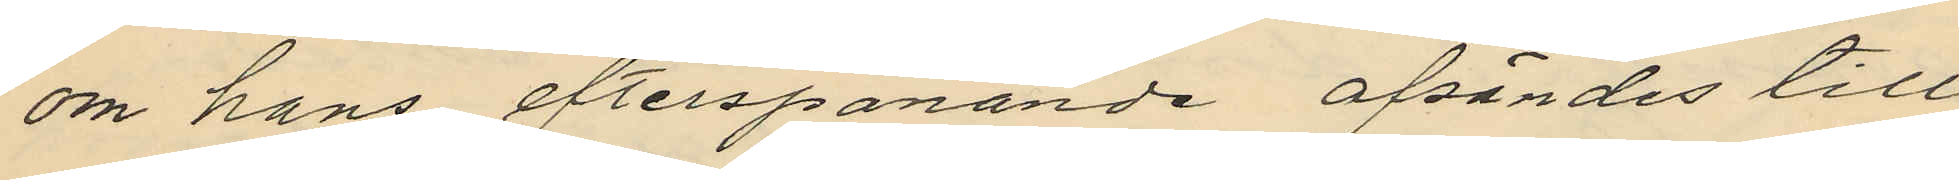om hans efterspanande afsändes till
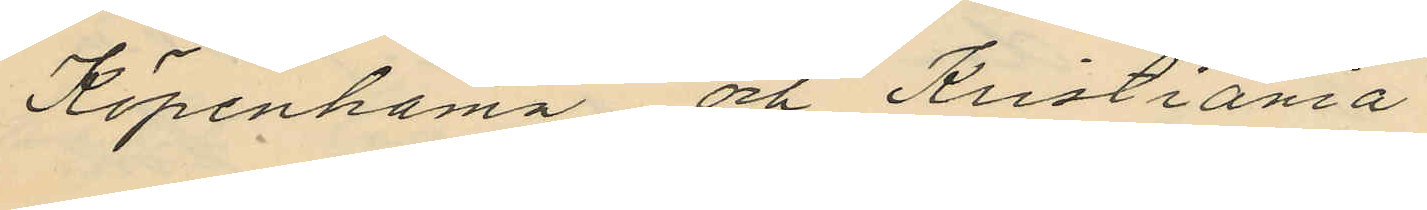Köpenhamn och Kristiania.
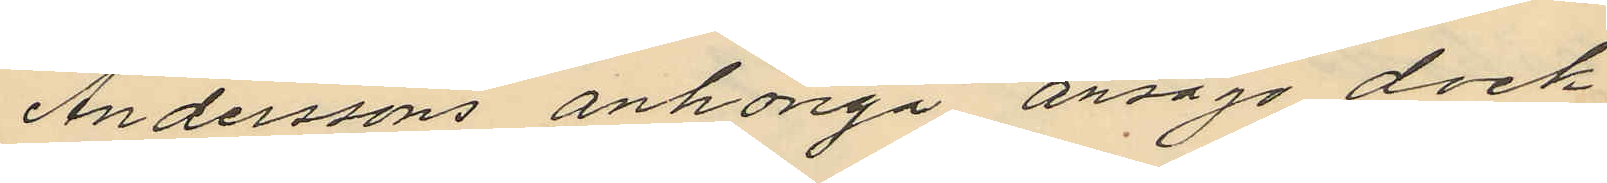Anderssons anhöriga ansågo dock
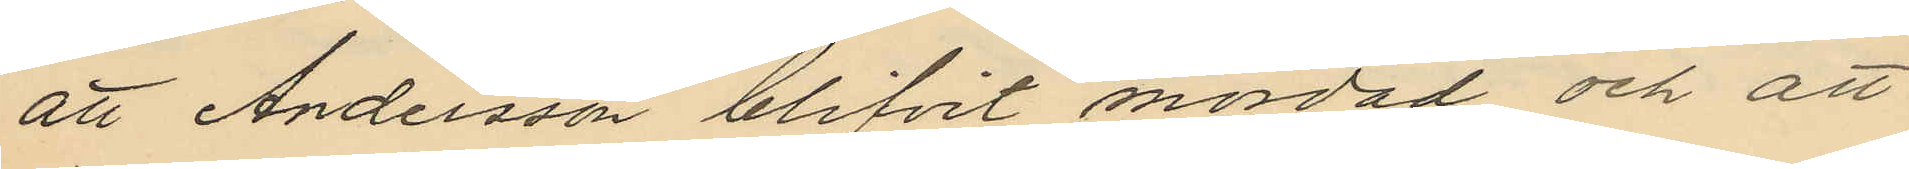att Andersson blifvit mördad och att
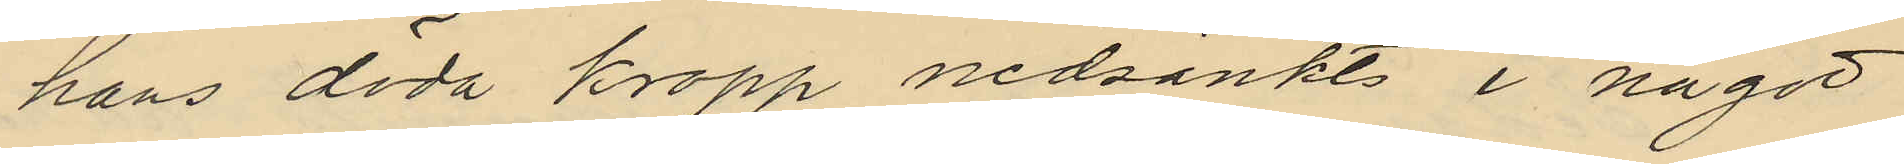hans döda kropp nedsänkts i något
